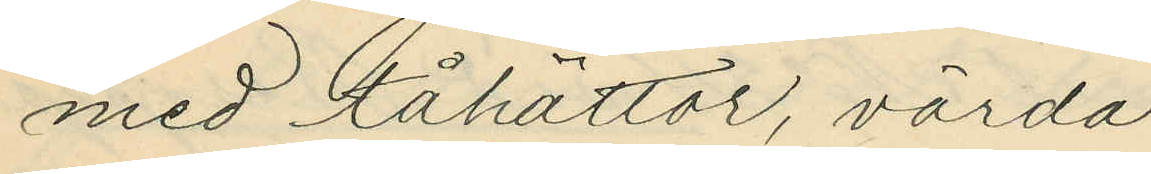med tåhättor, värda
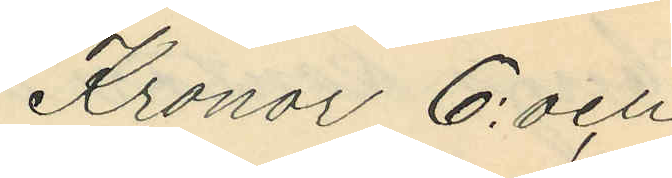Kronor 6: och
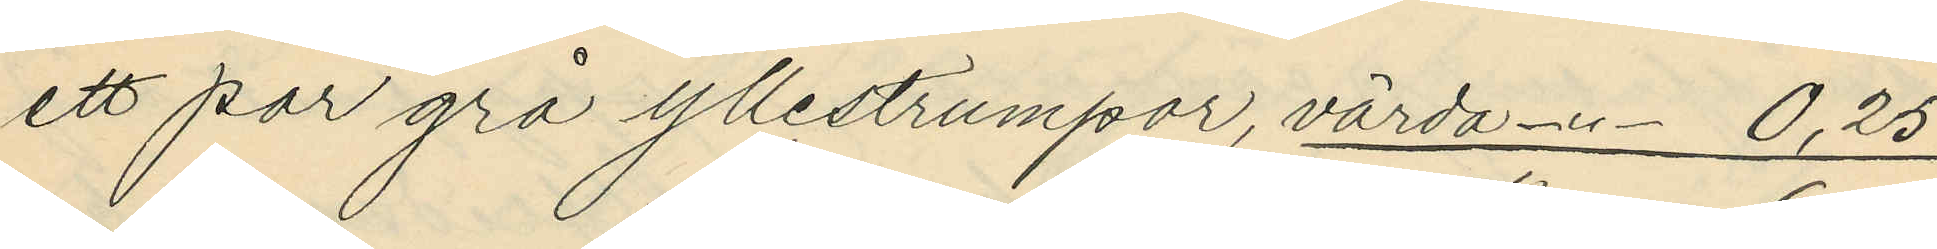ett par grå yllestrumpor, värda -"- 0,25
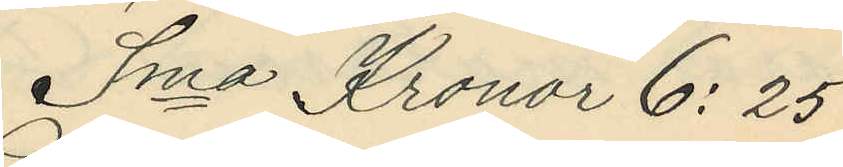Sma Kronor 6:25
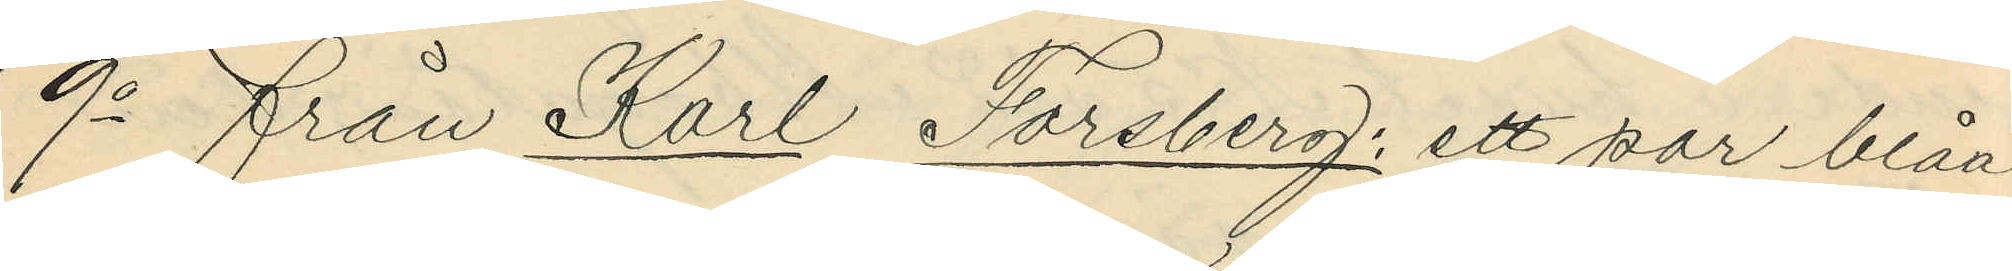9o från Karl Forsberg: ett par blåa
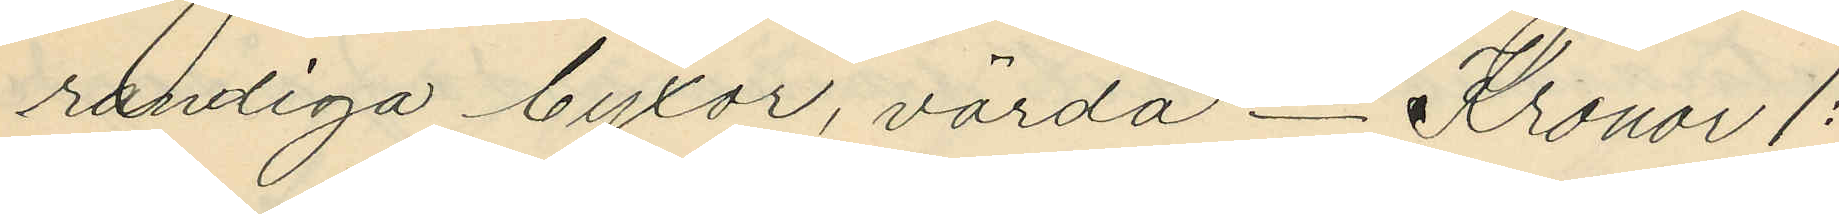randiga byxor, värda _ Kronor 1:
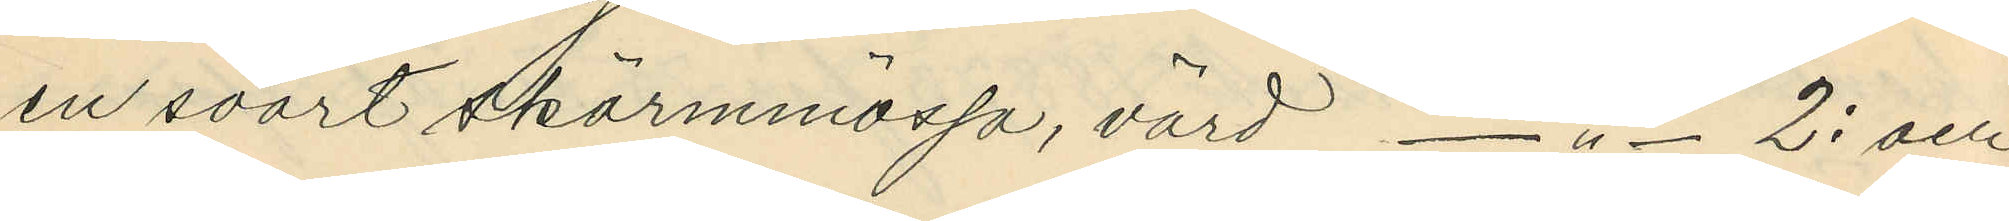en svart skärmmössa, värd -"- 2: och
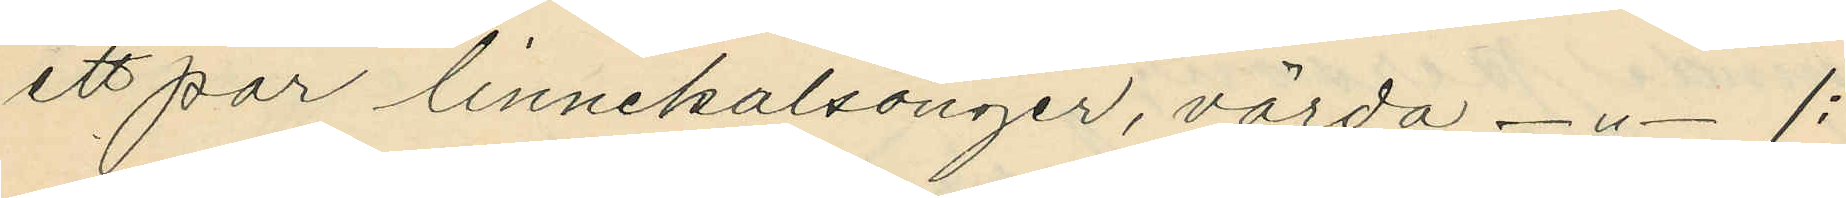ett par linnekalsonger, värda -"- 1:
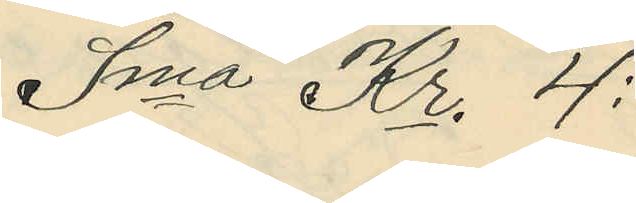Sma Kr. 4:
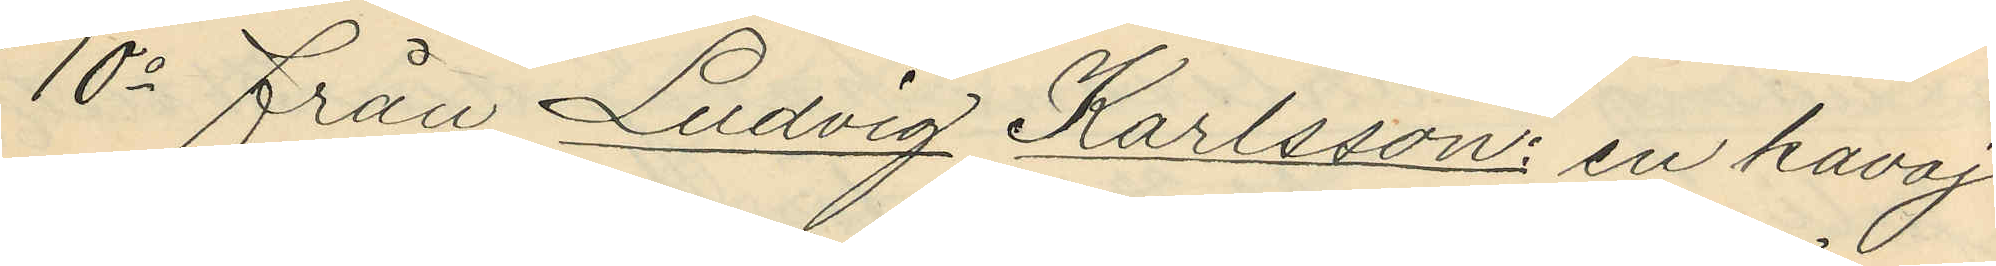10o från Ludvig Karlsson: en kavaj
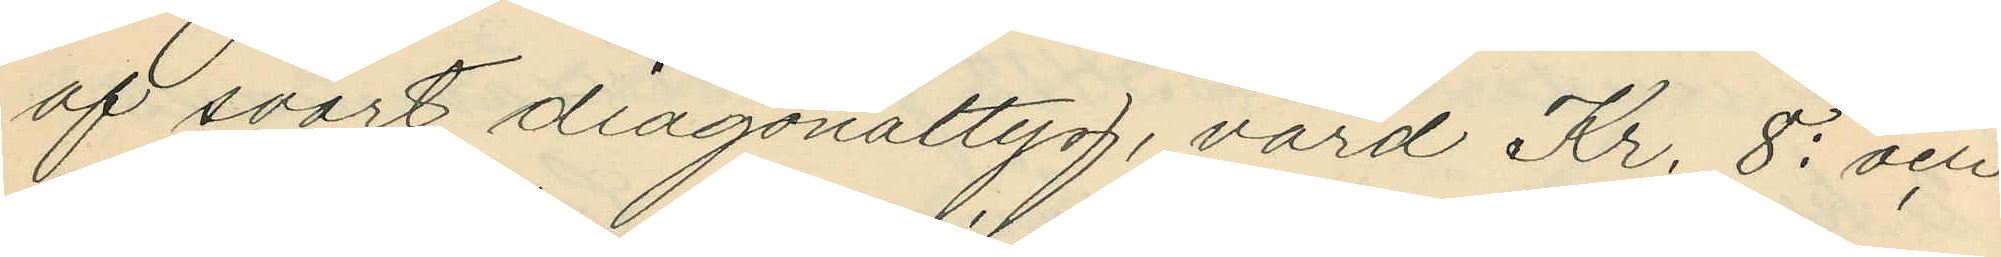af svart diagonaltyg, värd Kr. 8: och
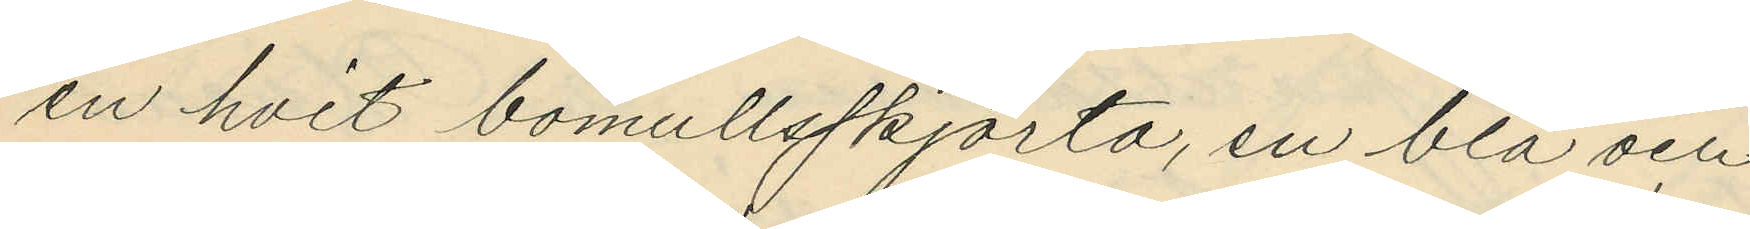en hvit bomullsskjorta, en blå och
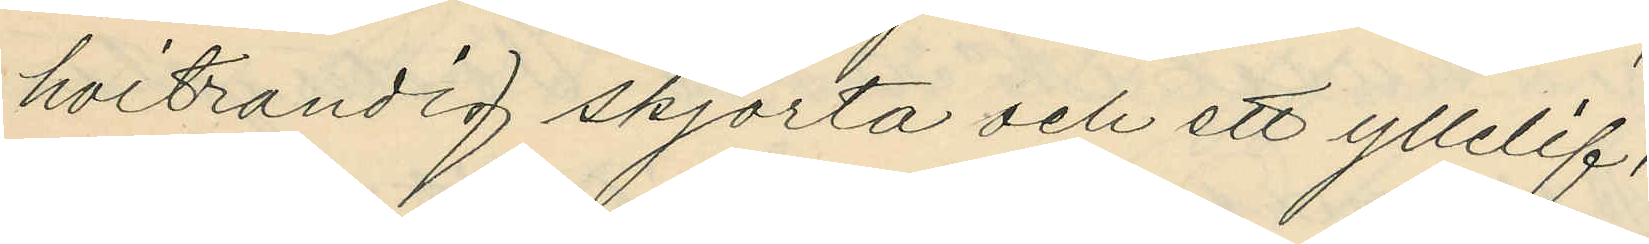hvitrandig skjorta och ett yllelif,
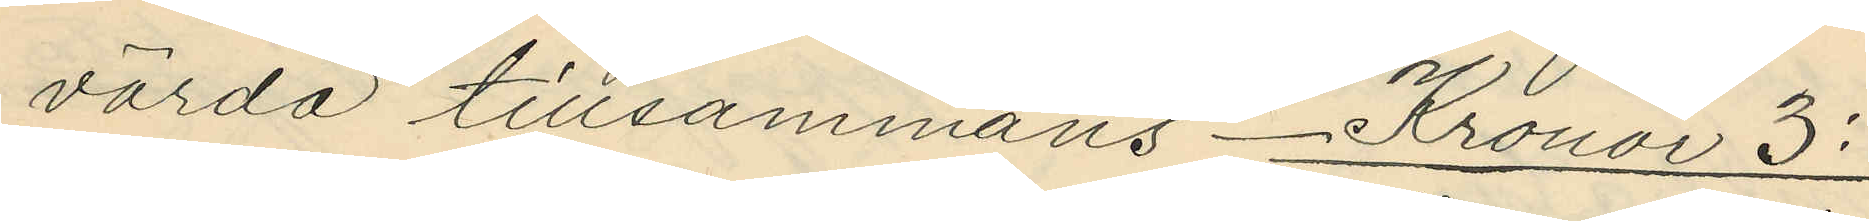värda tillsammans _ Kronor 3:
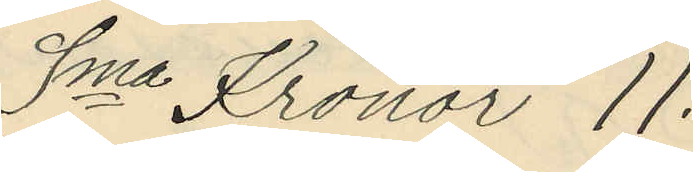Sma Kronor 11:
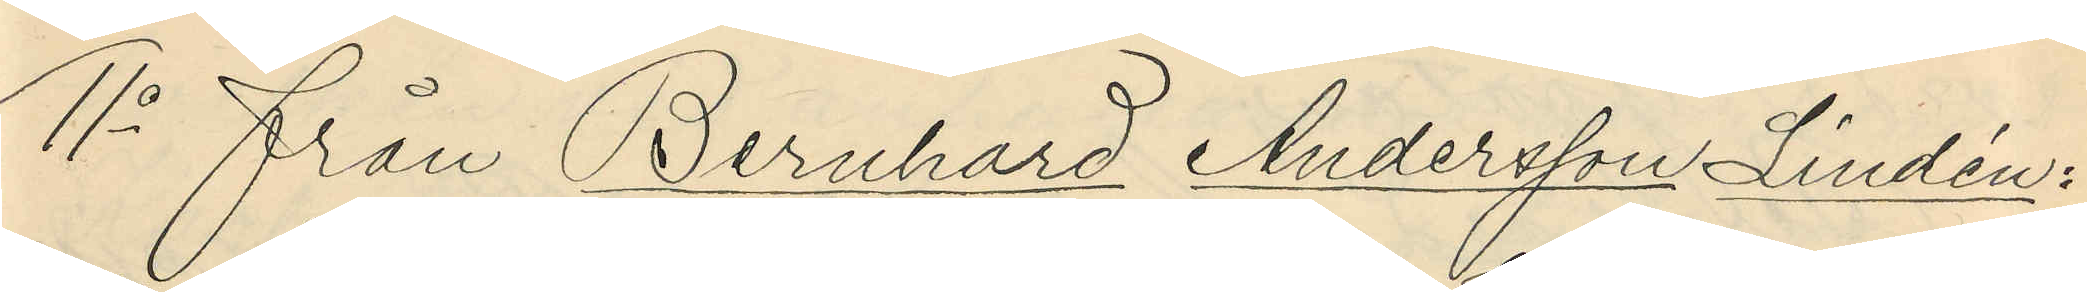11o från Bernhard Andersson Lindén:
